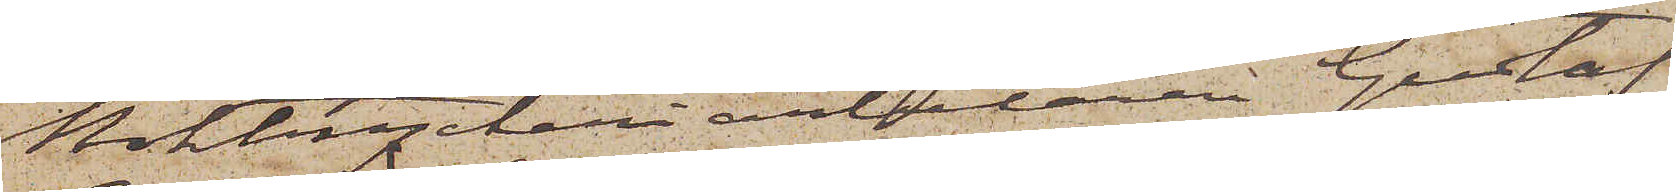Boktryckeriarbetaren Gustaf
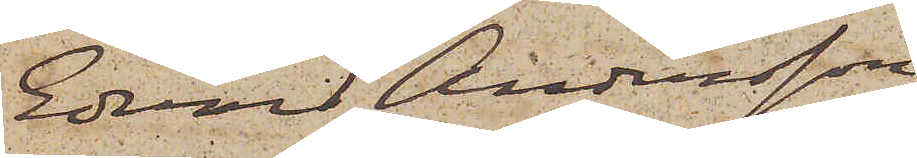Edvard Andersson.
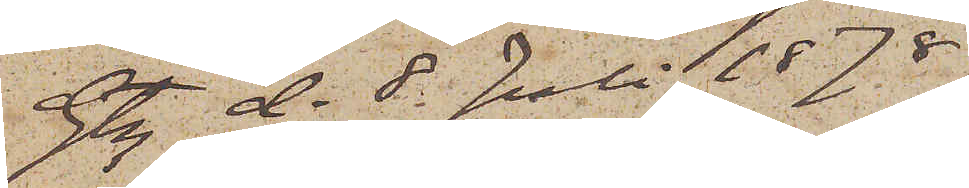Gtg d. 8. Juli 1878.
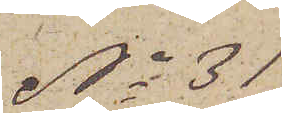No 31
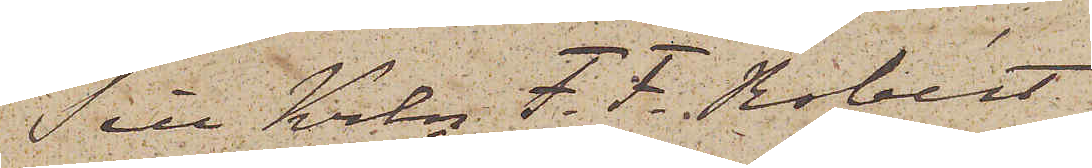Till Krln F. F. Robért
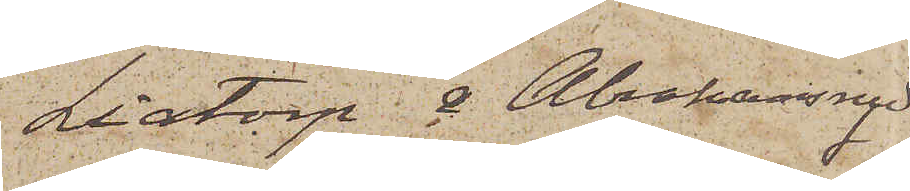Liatorp & Abrahamsryd
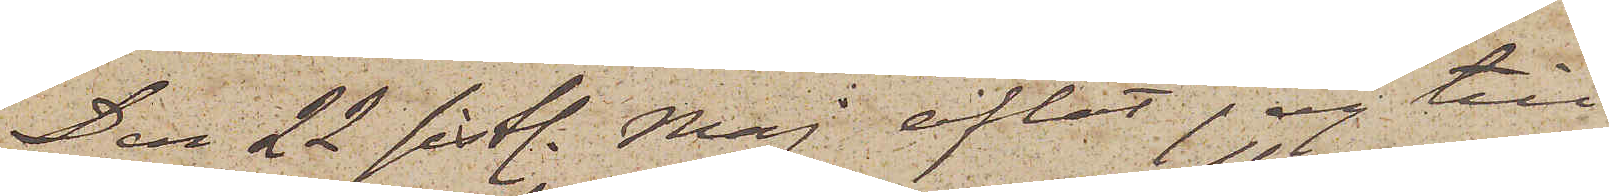Den 22 sistl. Maj aflät jag till
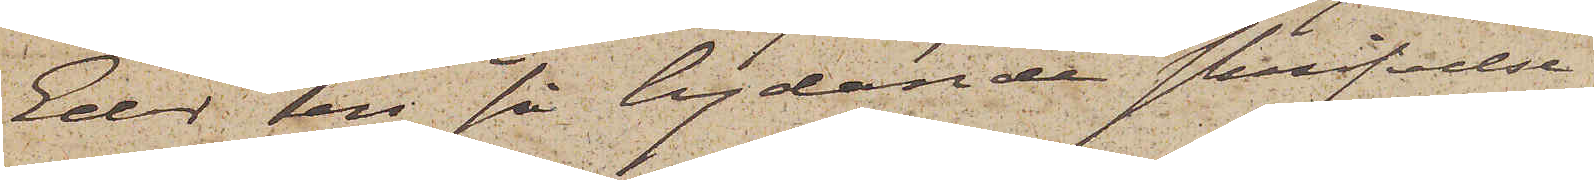Eder en så lydande skrifvelse
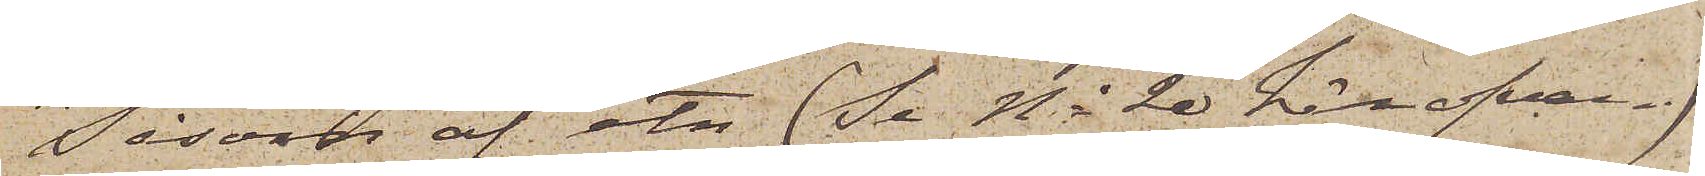"Såsom af etc (Se No 20 här ofvan.)
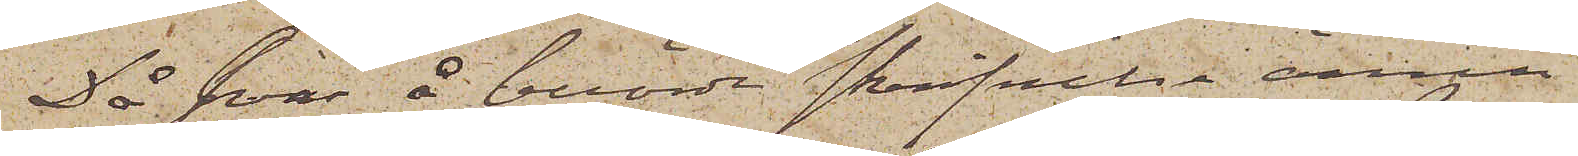Då svar å berörde skrifvelse ännu
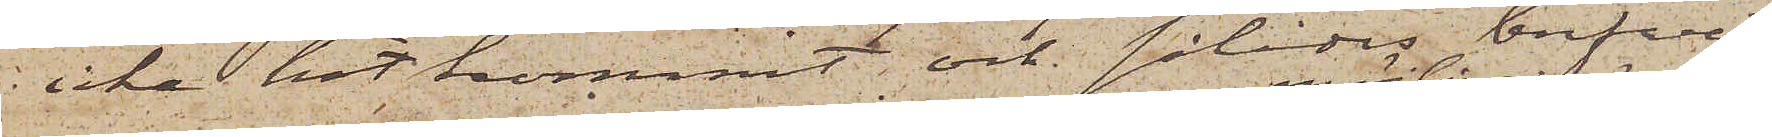icke hit kommit och således brefvet,
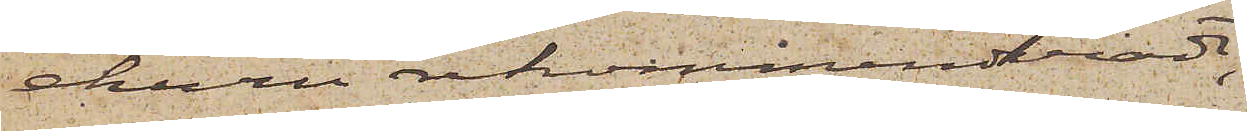ehuru rekommenderadt,
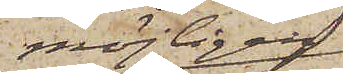möjligen
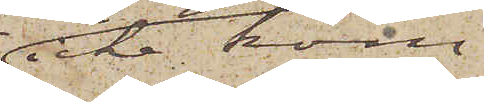icke kom¬
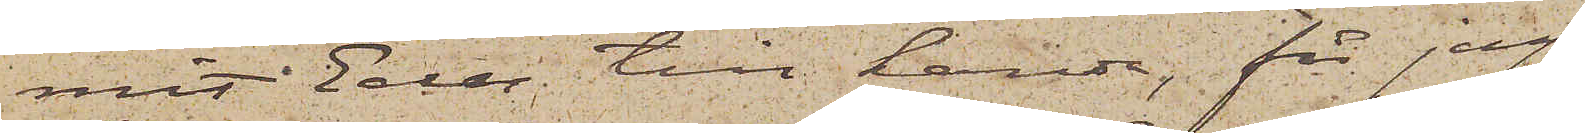mit Eder till handa, får jag
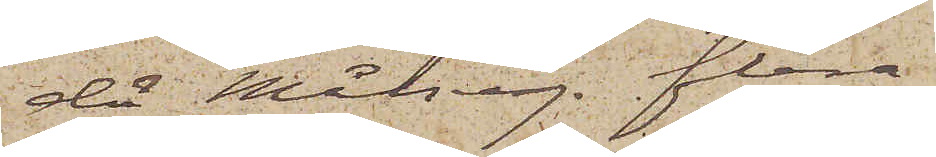då Målseg. flera
